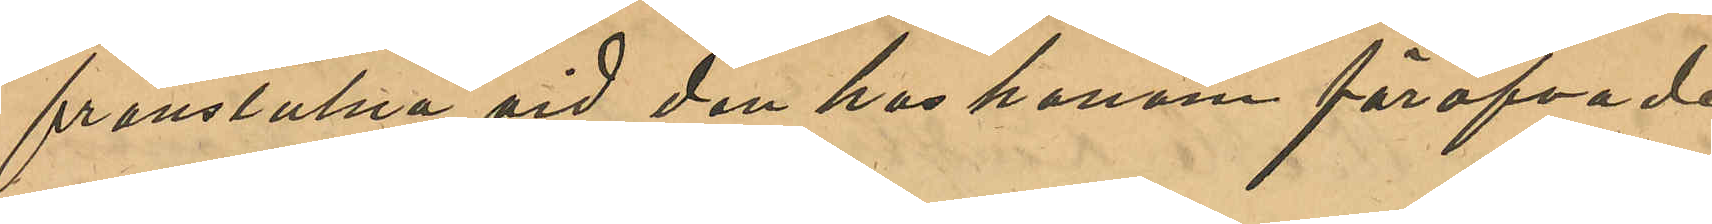frånstulna vid den hos honom föröfvade
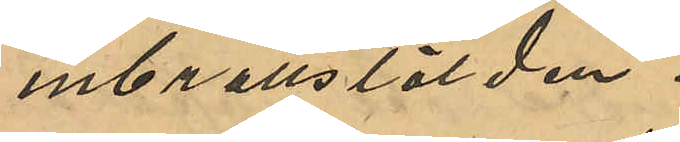inbrottsstölden.
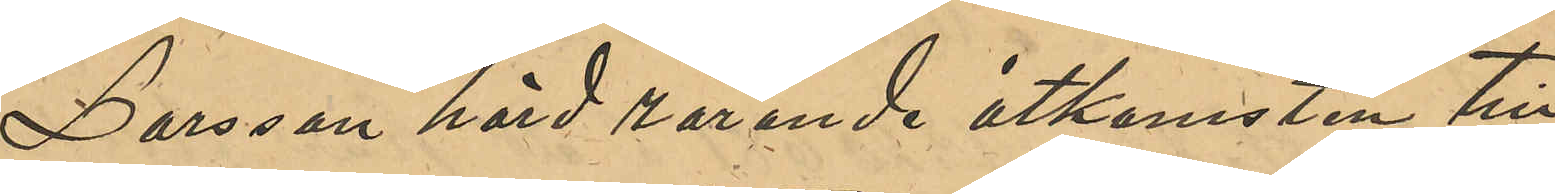Larsson hörd rörande åtkomsten till
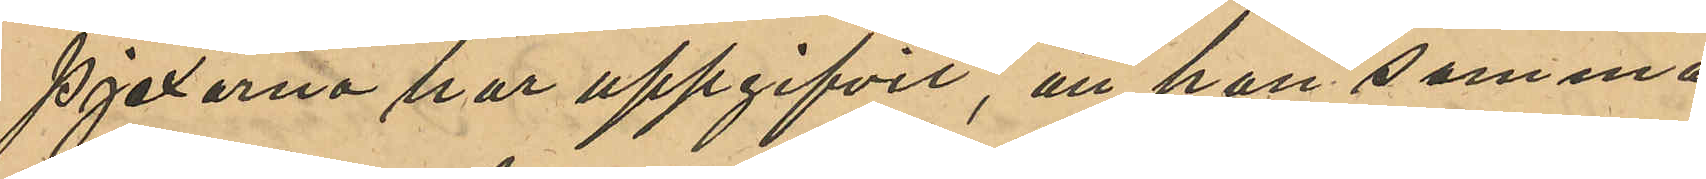pjexorna har uppgifvit, att han samma
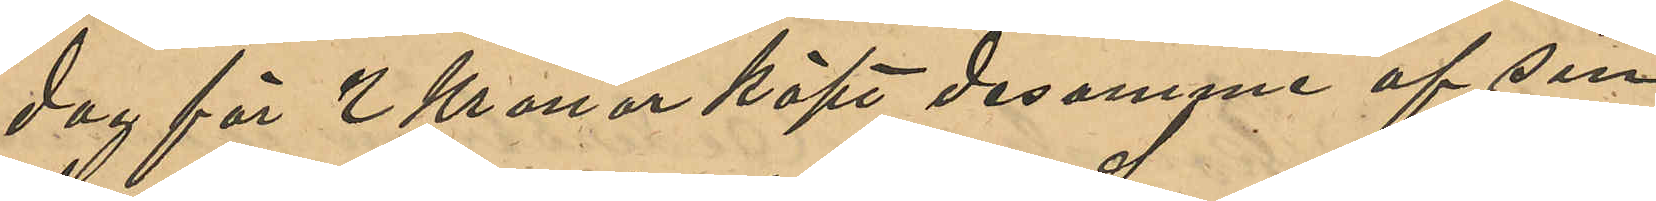dag för 2 Kronor köpt desamme af sin
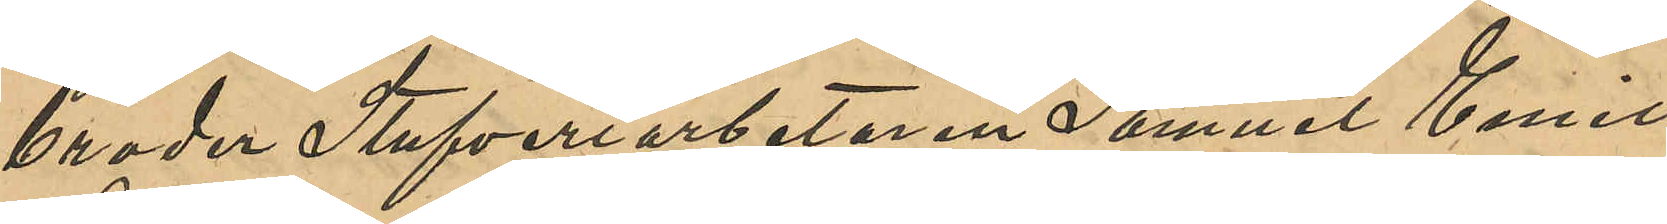broder Stufveriarbetaren Samuel Emil
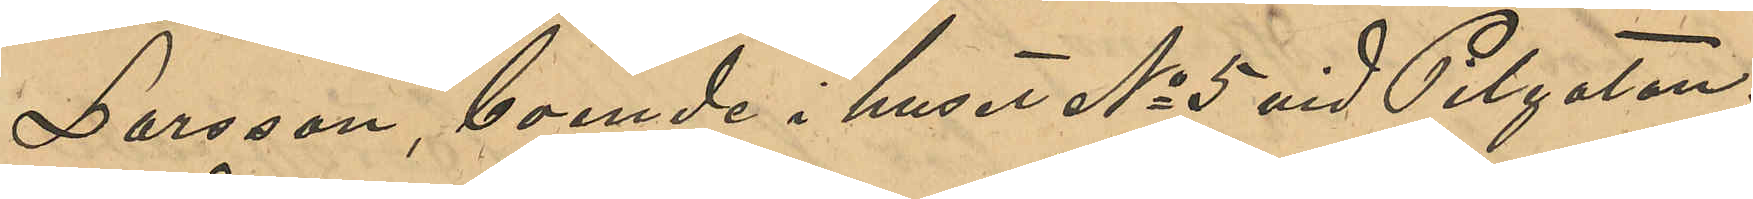Larsson, boende i huset No 5 vid Pilgatan.
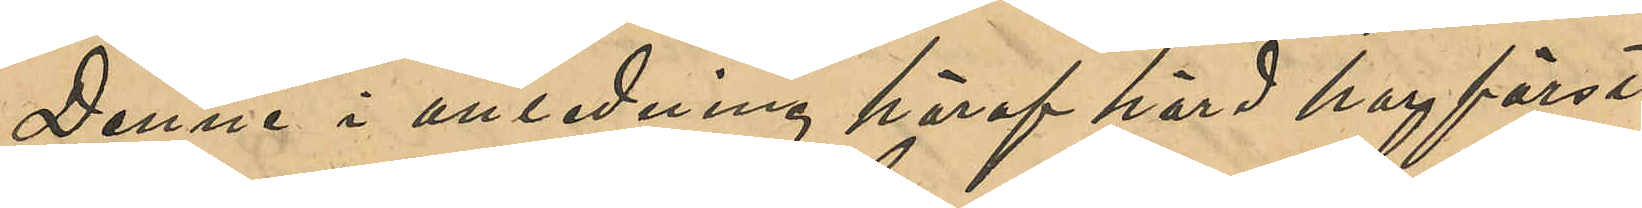Denne i anledning häraf hörd har först
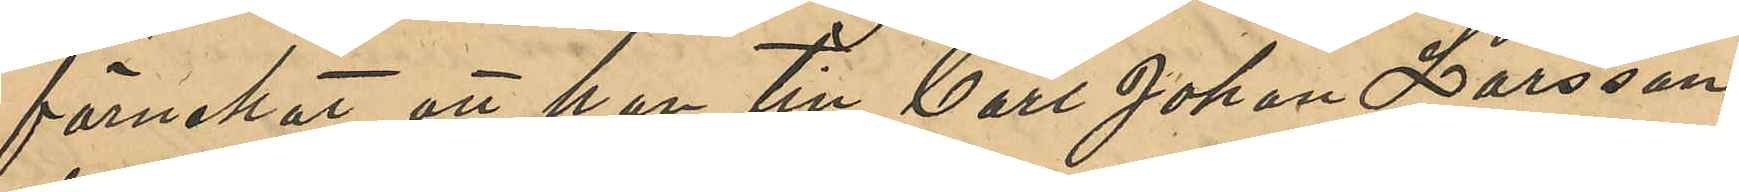förnekat att han till Carl Johan Larsson
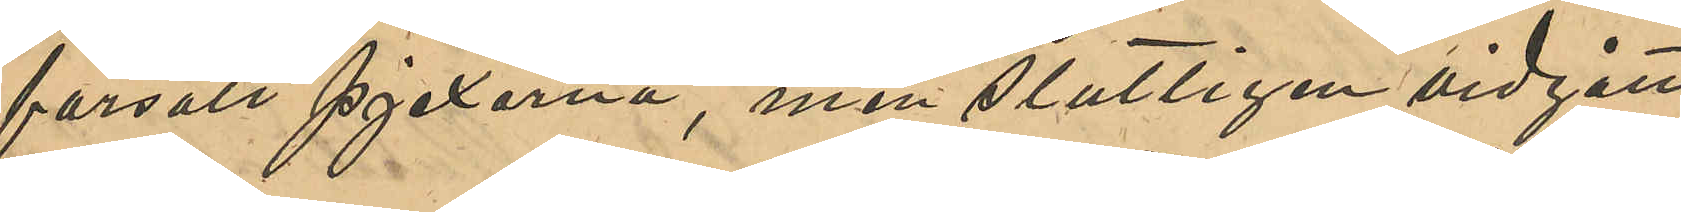försålt pjexorna, men slutligen vidgått
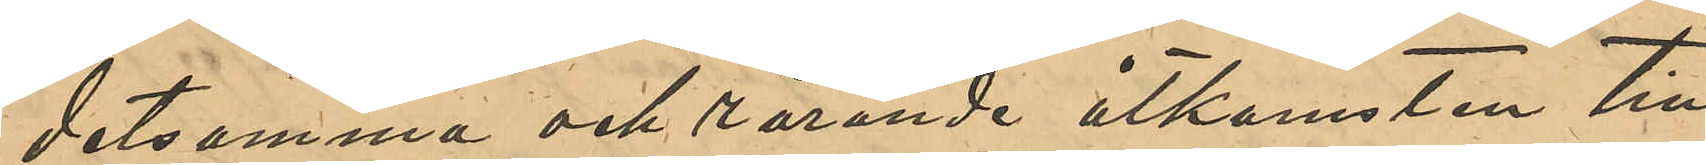detsamma och rörande åtkomsten till
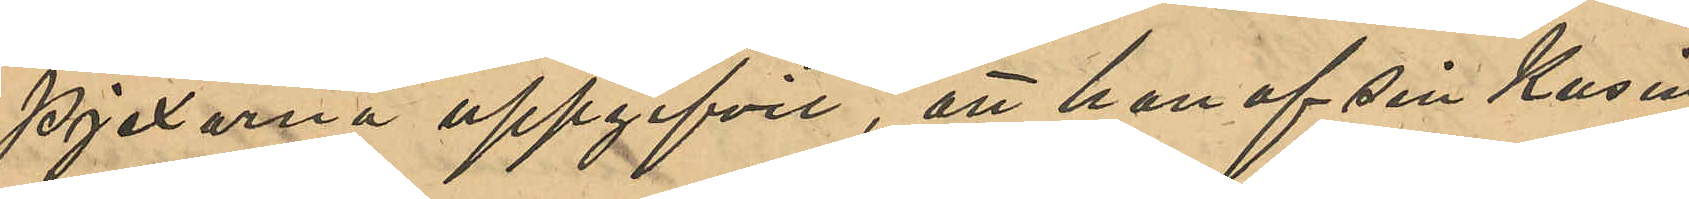pjexorna uppgifvit, att han af sin kusin
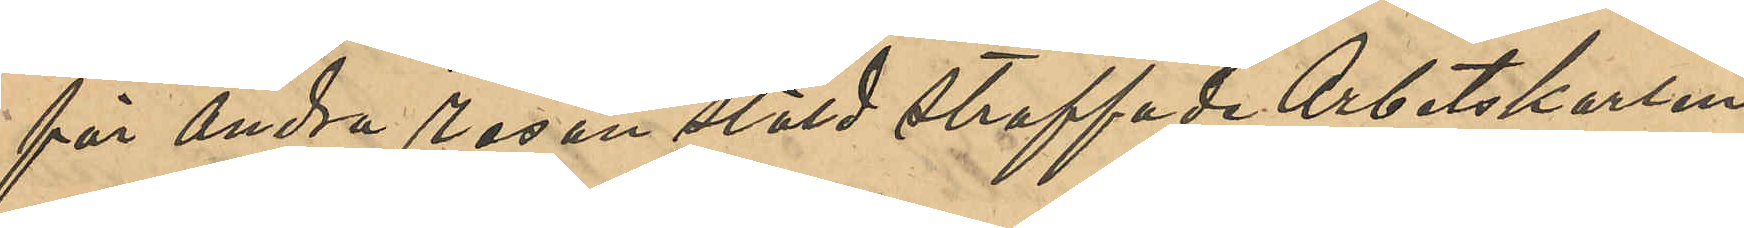för andra resan stöld straffade Arbetskarlen
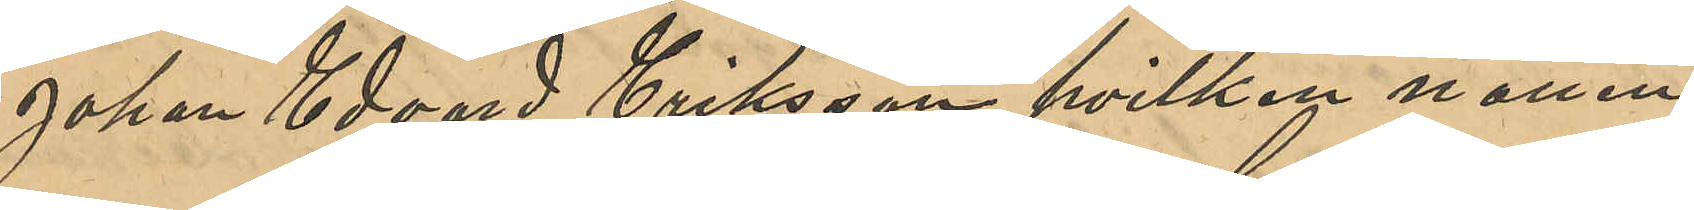Johan Edvard Eriksson, hvilken natten
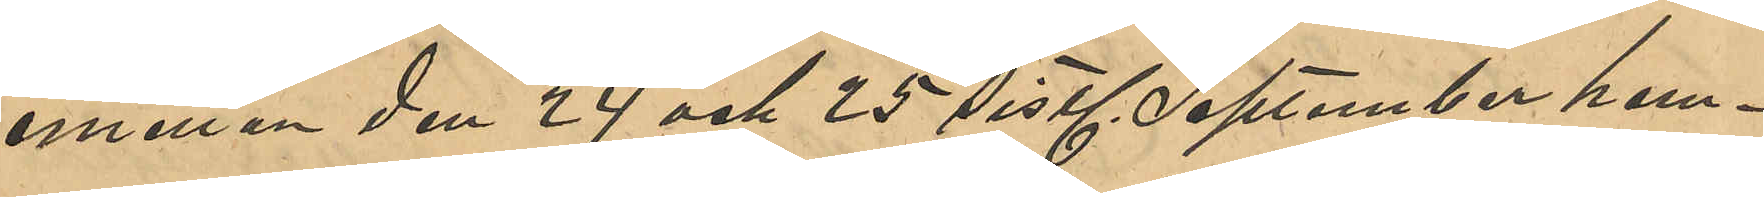emellan den 24 och 25 sistl. September hem¬
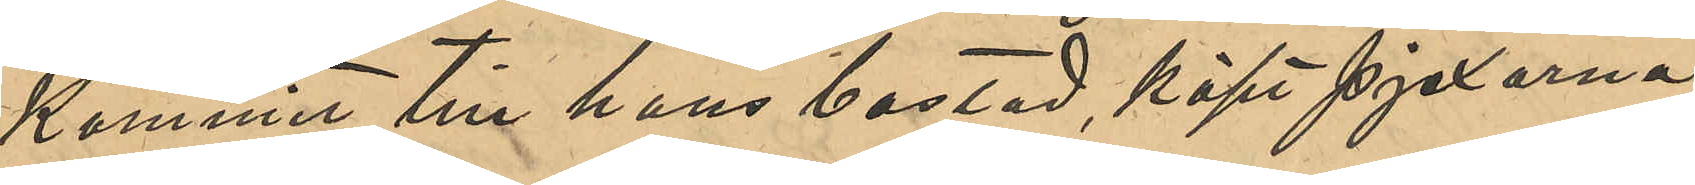kommit till hans bostad, köpt pjexorna
